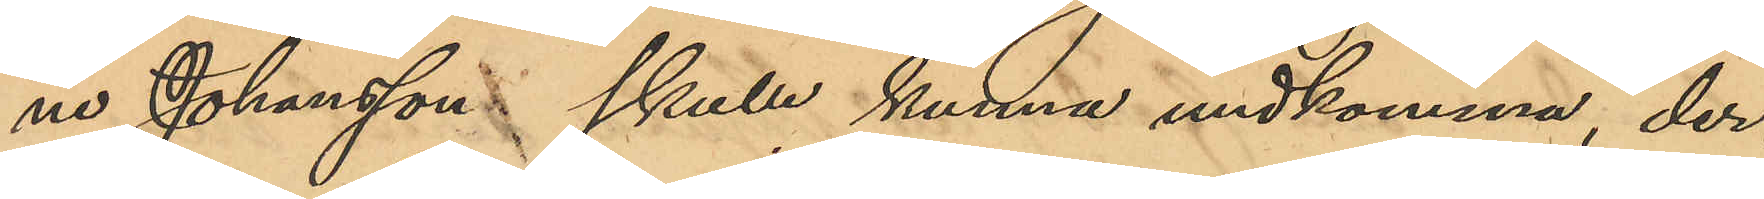ne Johansson skulle kunna undkomma, der¬
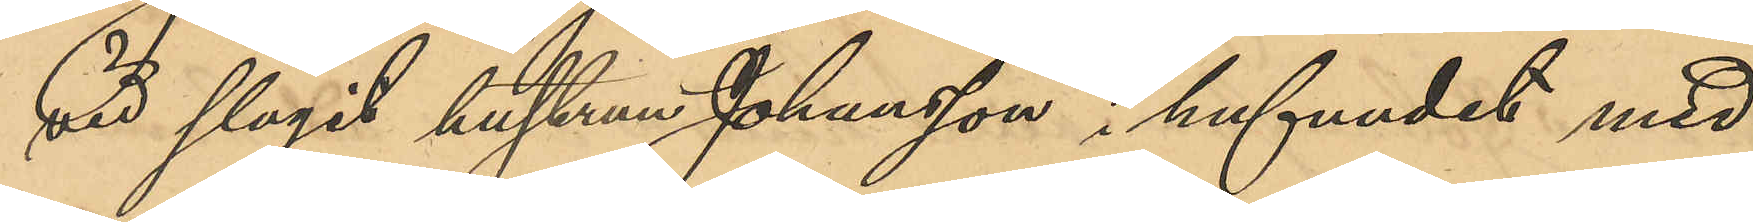vid slagit hustrun Johansson i hufvudet med
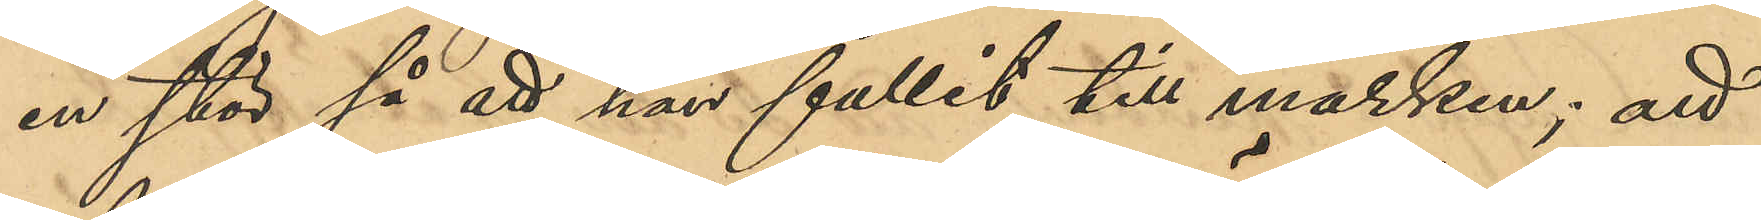en stör så att hon fallit till marken; att
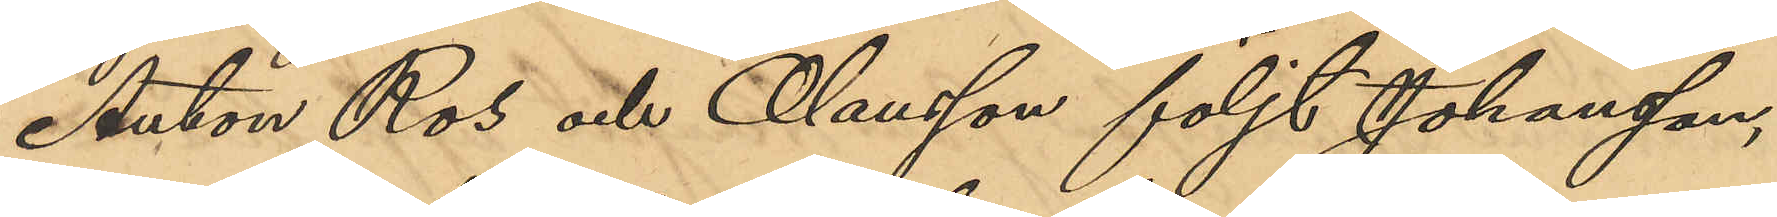Anton Ros och Olausson följt Johansson,
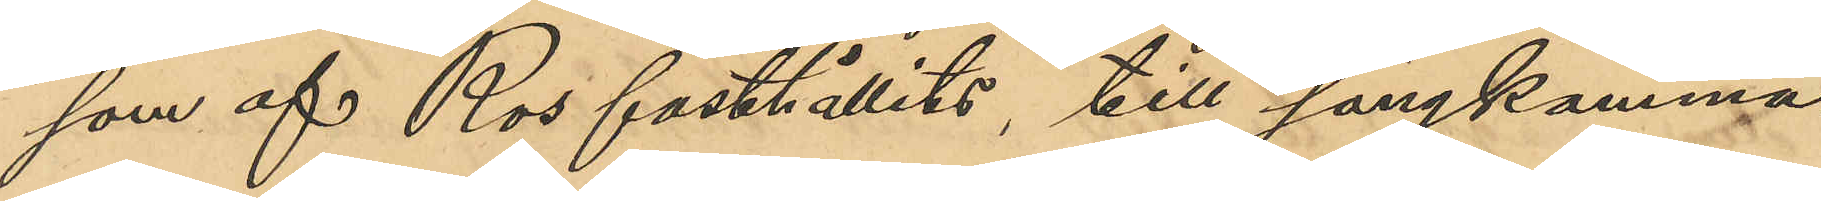som af Ros fasthållits, till sängkamma¬
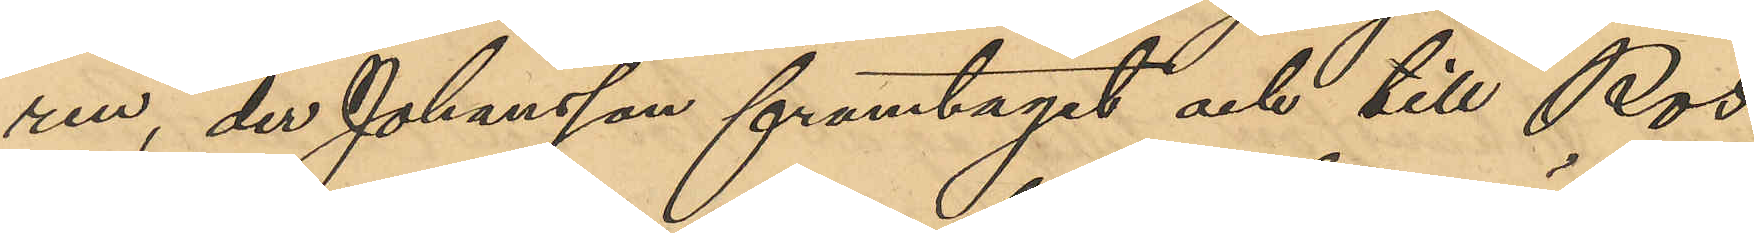ren, der Johansson framtagit och till Ros
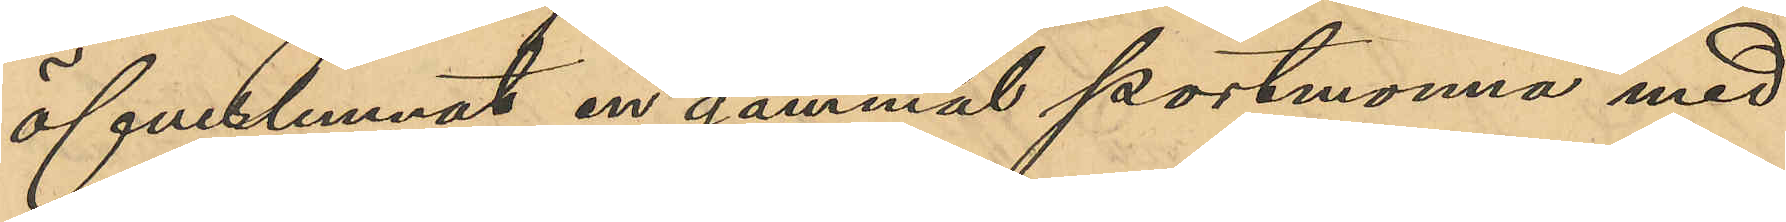öfverlemnat en gammal portmonnä med
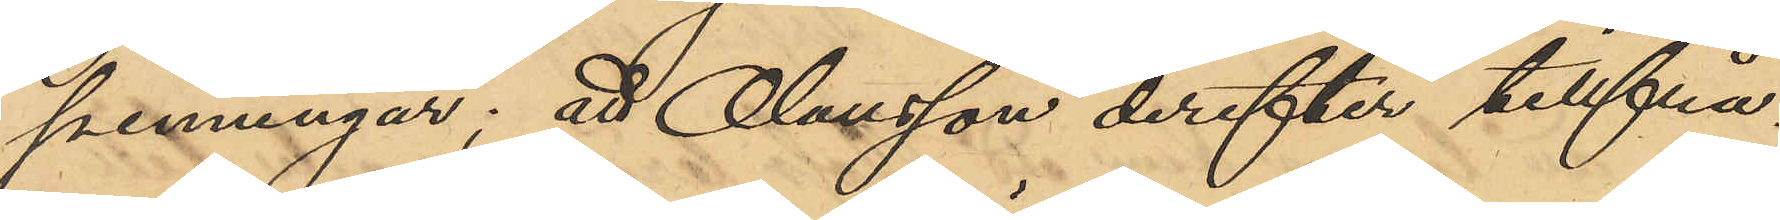penningar; att Olausson derefter tillfrå¬
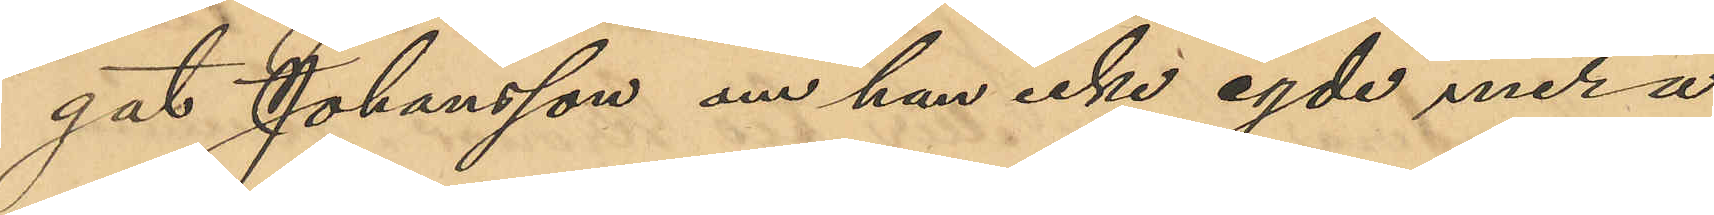gat Johansson om han icke egde mera
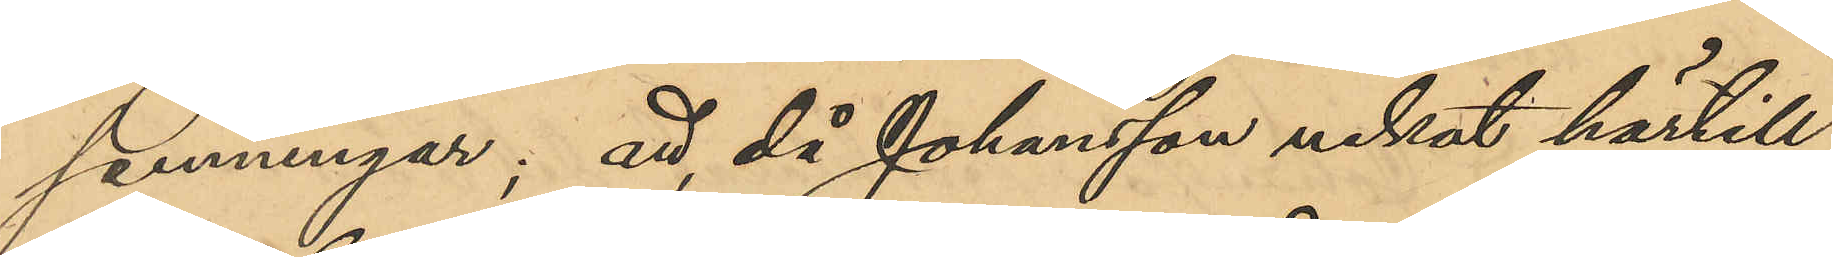penningar; att då Johansson nekat härtill,
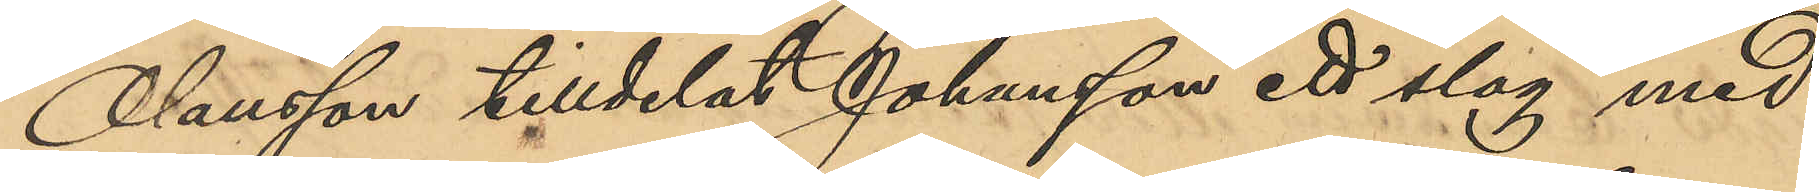Olausson tilldelat Johansson ett slag med
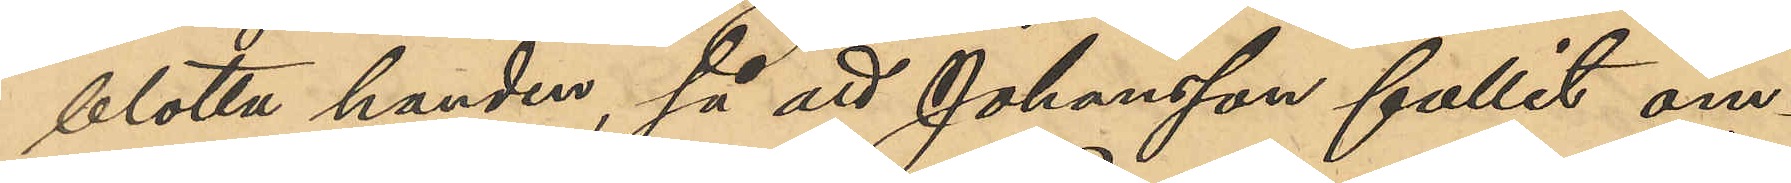blotta handen, så att Johansson fallit om¬
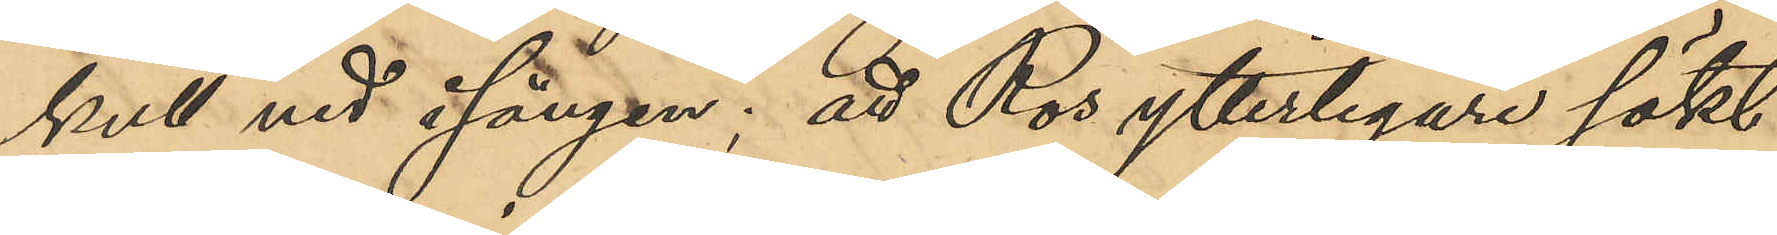kull ned i sängen; att Ros ytterligare sökt
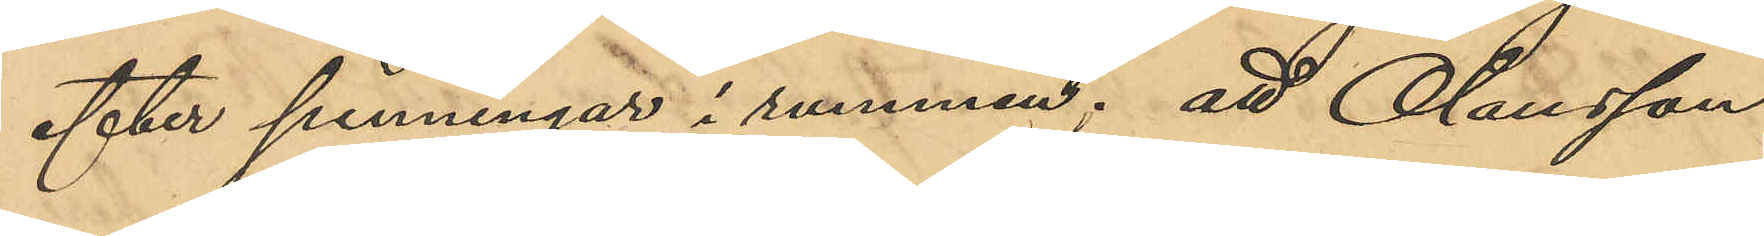efter penningar i rummet; att Olausson
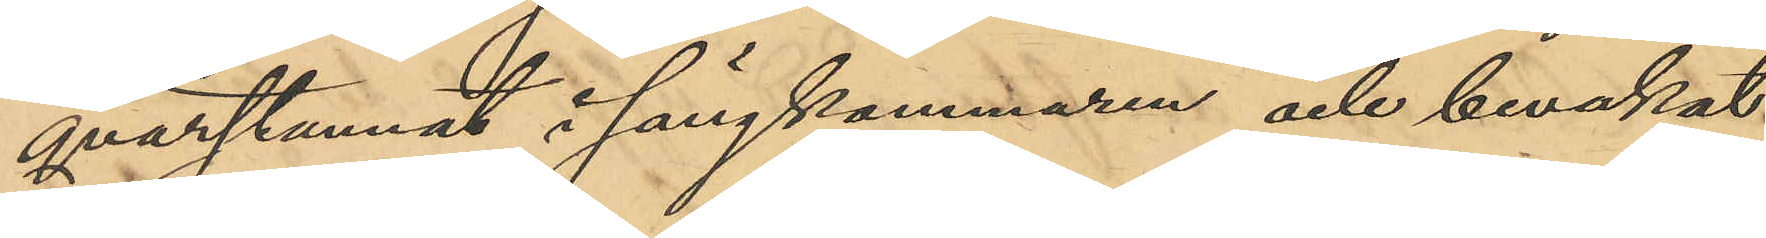qvarstannat i sängkammaren och bevakat
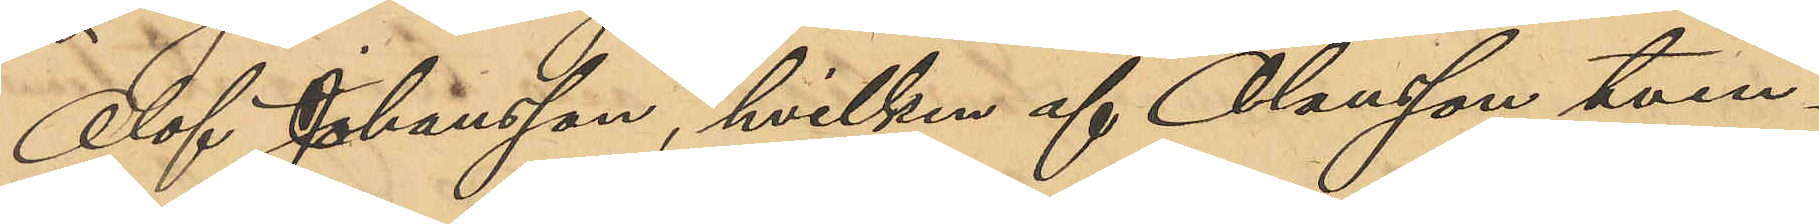Olof Johansson, hvilken af Olausson tvin¬
